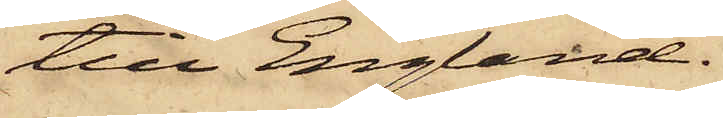till England.
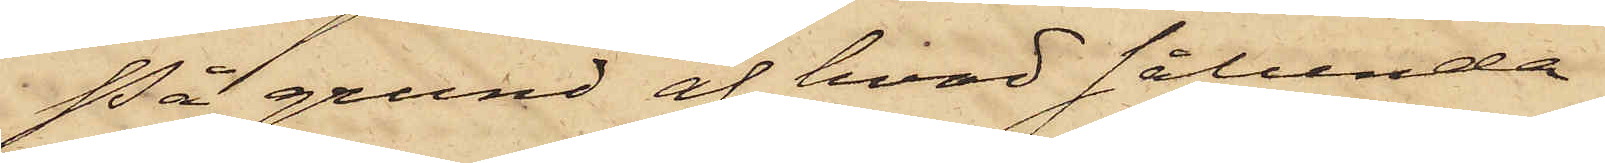På grund af hvad sålunda
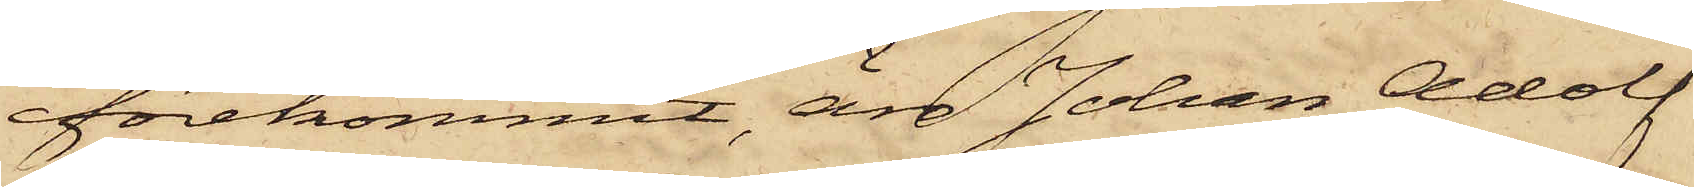förekommit, är Johan Adolf
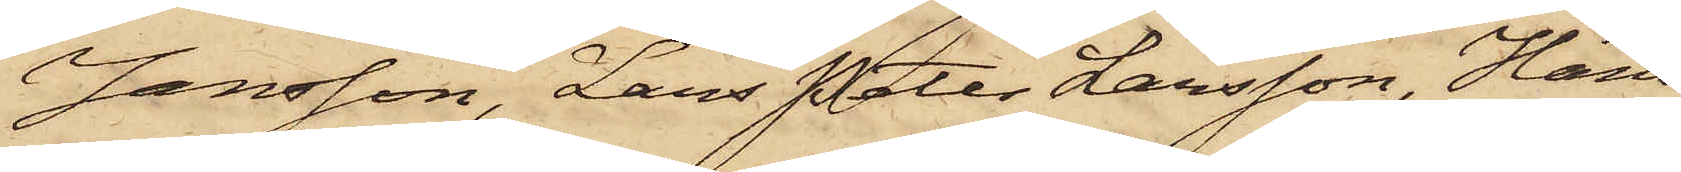Jansson, Lars Peter Larsson, Hans
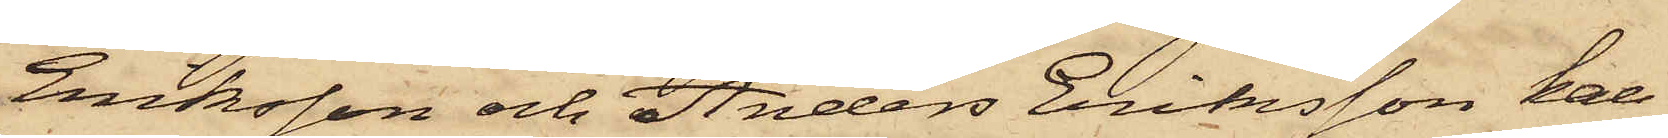Eriksson och Anders Eriksson kal¬
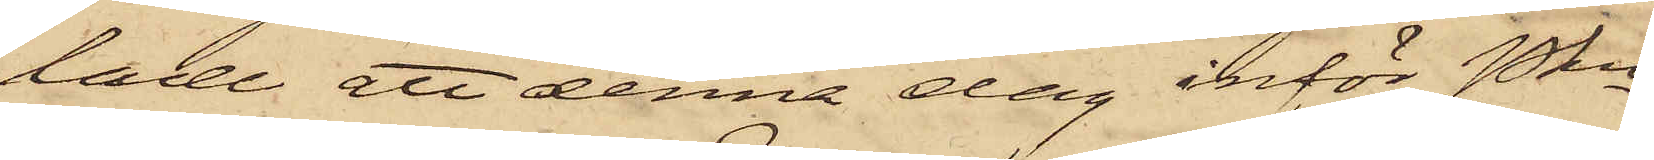lade att denna dag inför Pkn
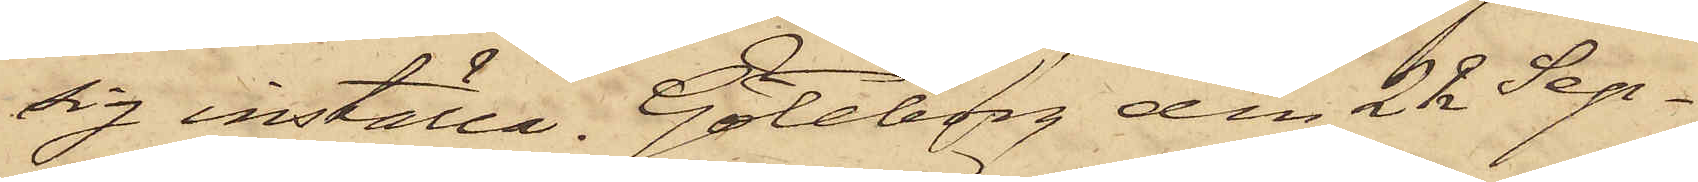sig inställa. Göteborg den 22 Sep¬
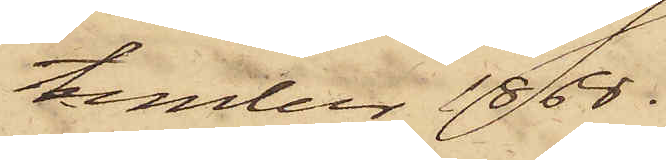tember 1868.
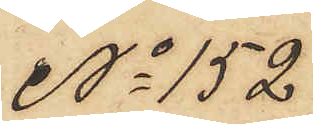No 152
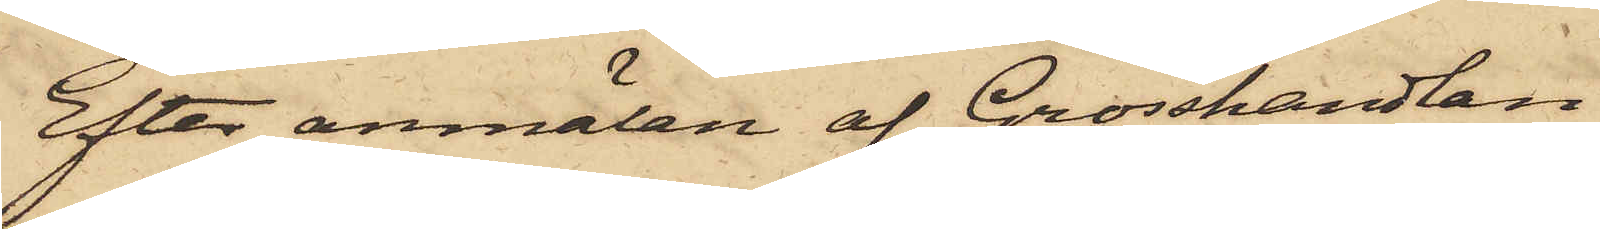Efter anmälan af Grosshandlan¬
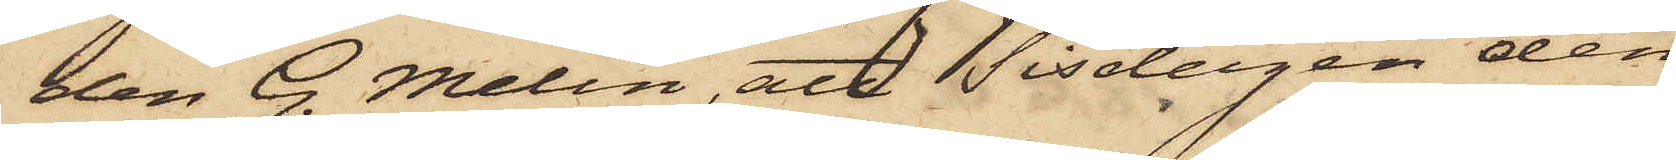den G. Melin, att Tisdagen den
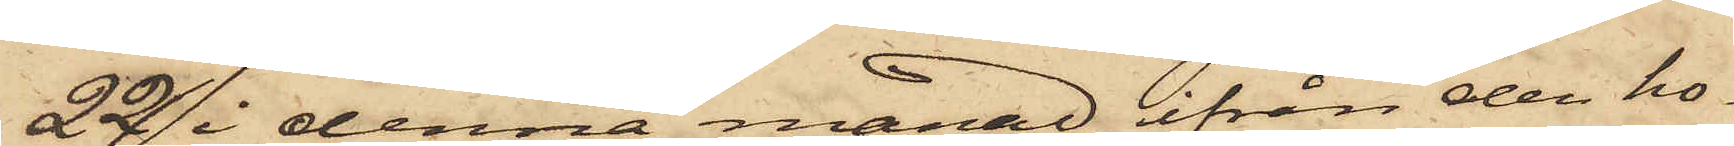22 i denna månad ifrån den ho¬
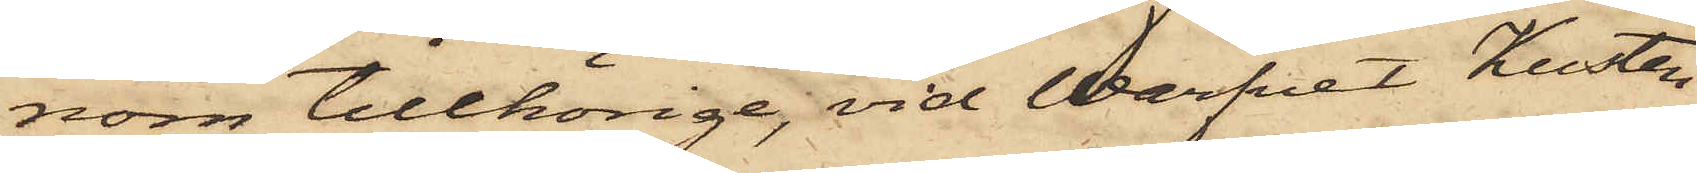nom tillhörige, vid Warfvet Kusten
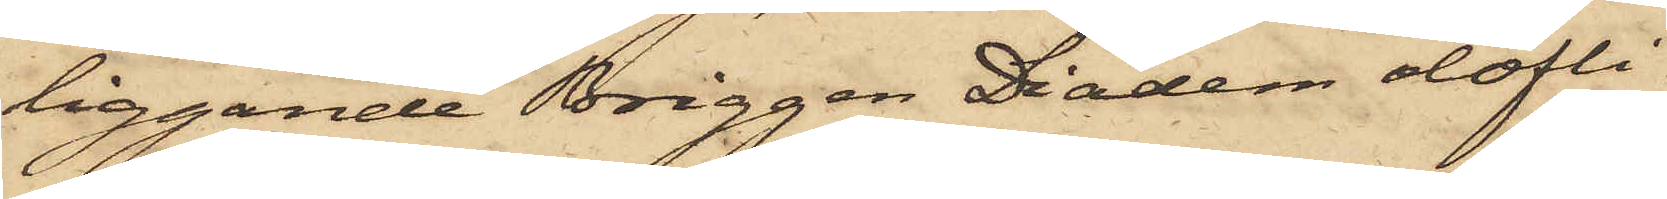liggande Briggen Diadem olofli¬
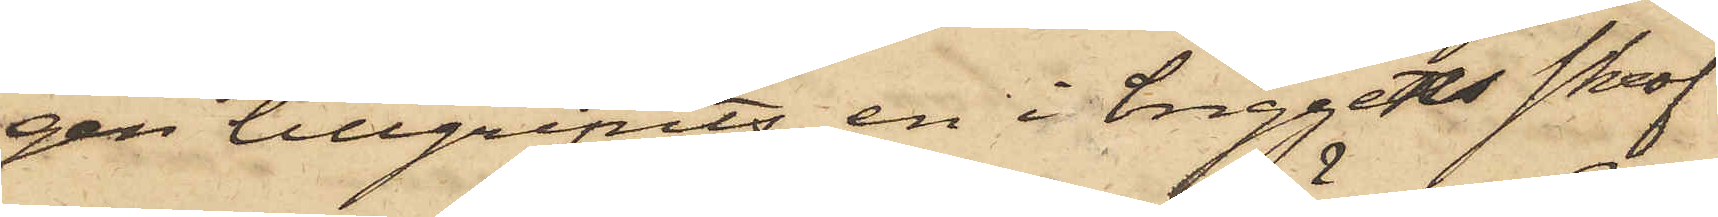gen tillgripits en i briggens skrof
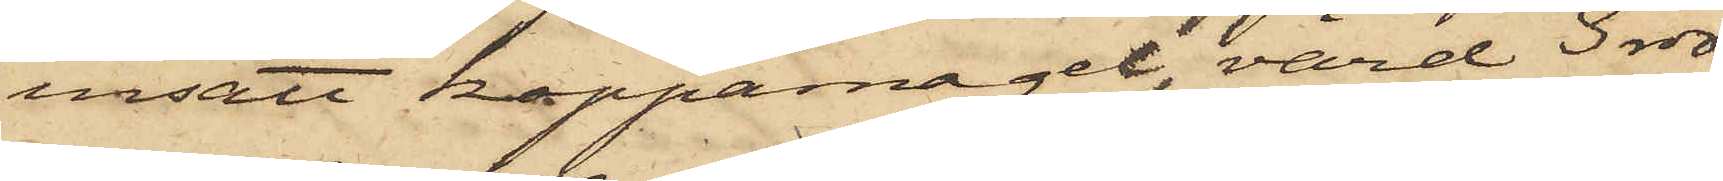insatt kopparnagel, värd 3 rdr.
